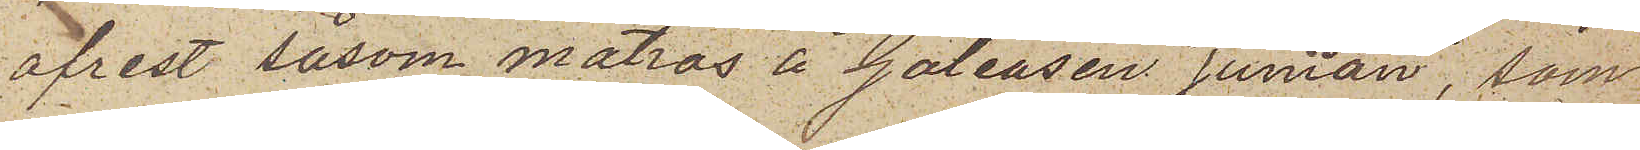afrest såsom matros å Galeasen "Junian", som
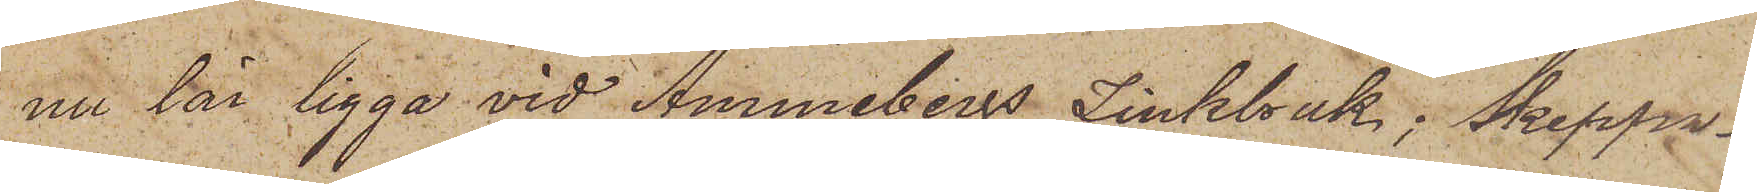nu lär ligga vid Åmmebergs Zinkbruk; Skeppa¬
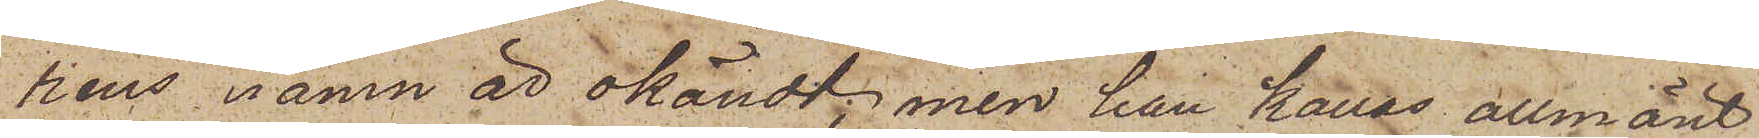rens namn är okändt; men han kallas allmänt
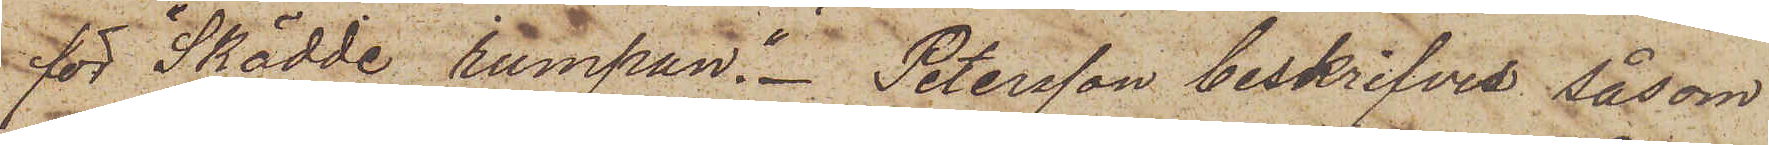för "Skädde rumpan". Petersson beskrifves såsom
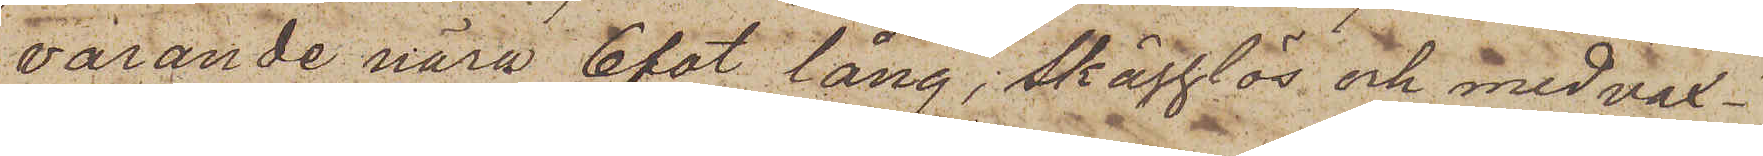varande nära 6 fot lång, skägglös och med vax¬
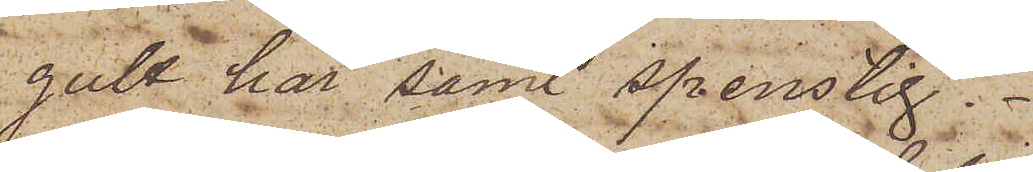gult hår samt spenslig.
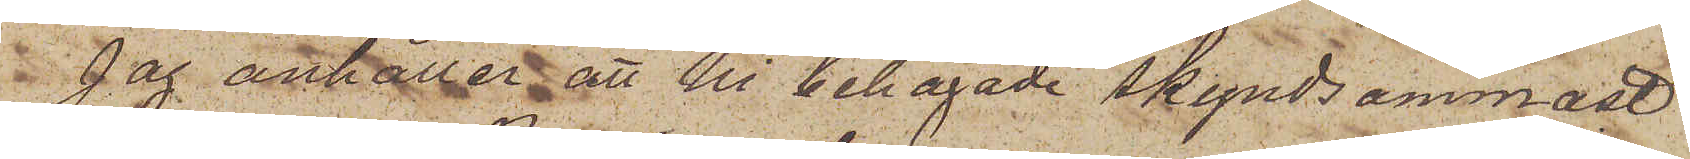Jag anhåller att Ni behagade skyndsammast
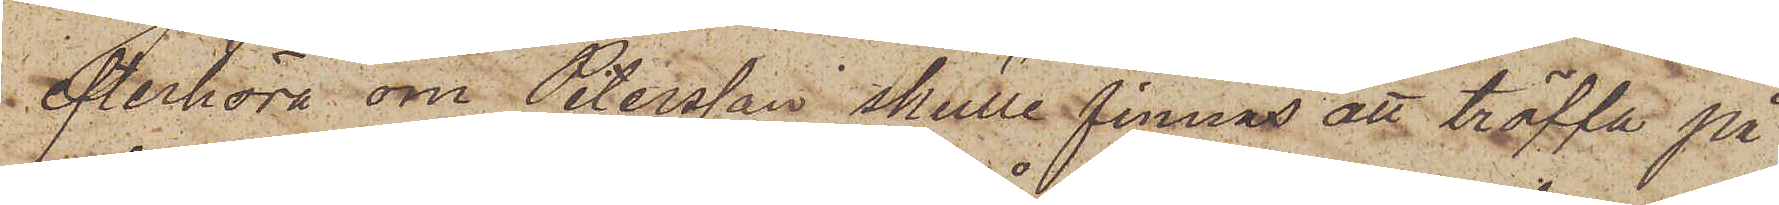efterhöra om Petersson skulle finnas att träffa på
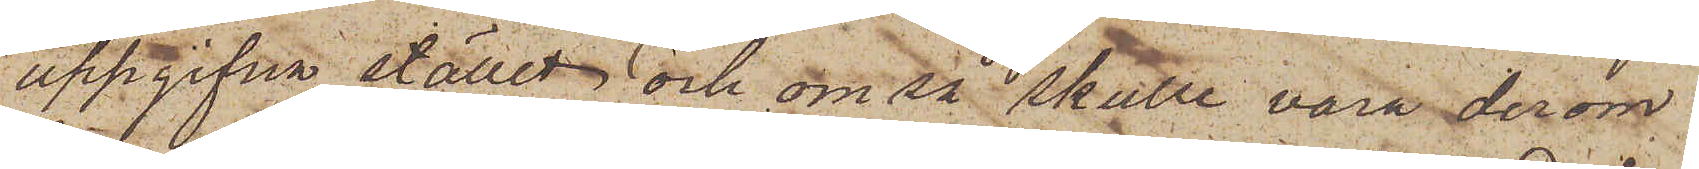uppgifna stället och om så skulle vara derom
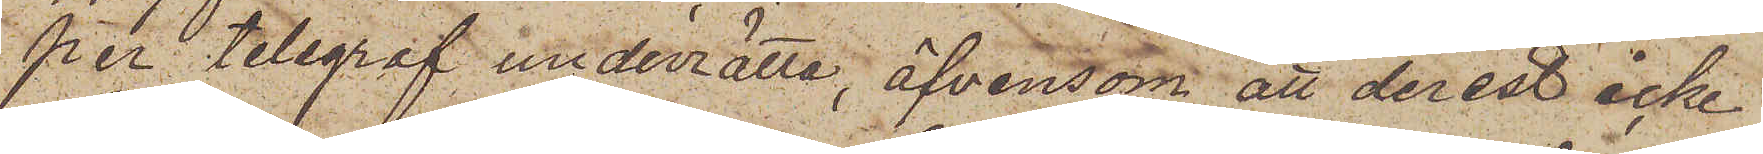per telegraf underrätta, äfvensom att derest icke
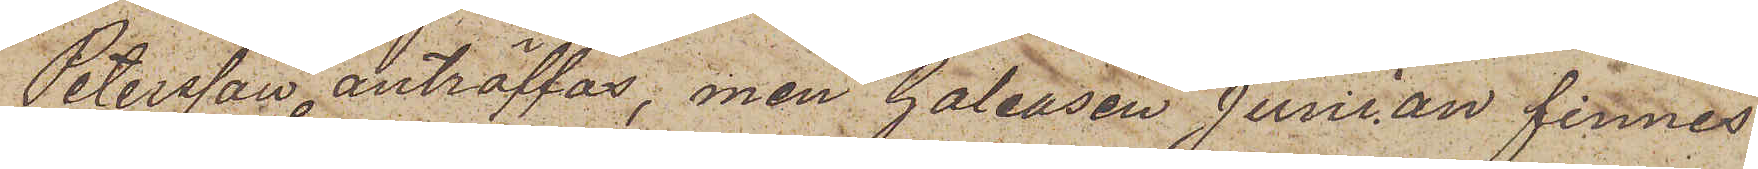Petersson anträffas, men Galeasen Junian finnes
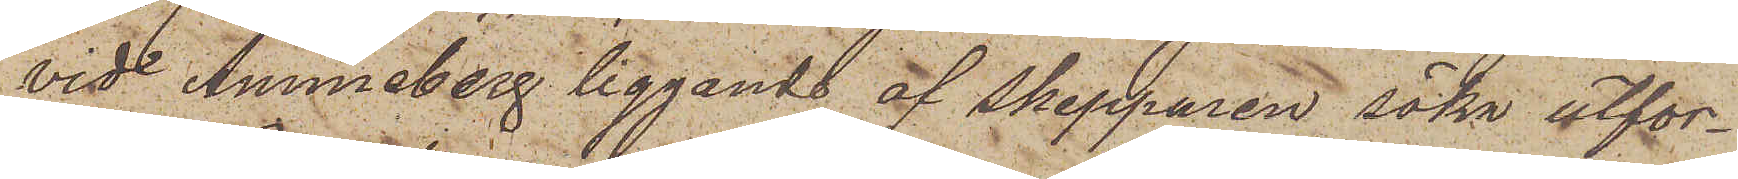vid Åmmeberg liggande af Skepparen söka utfor¬
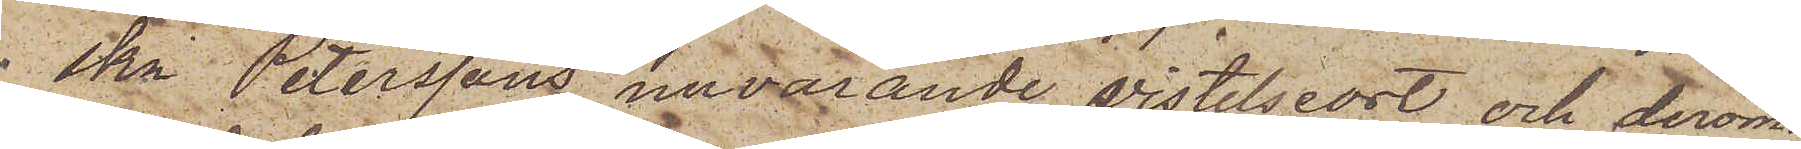ska Peterssons nuvarande vistelseort och derom
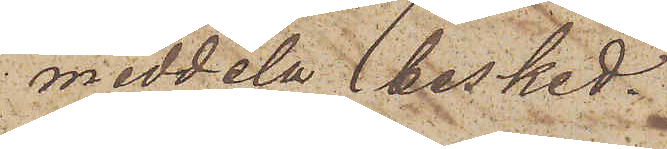meddela besked.
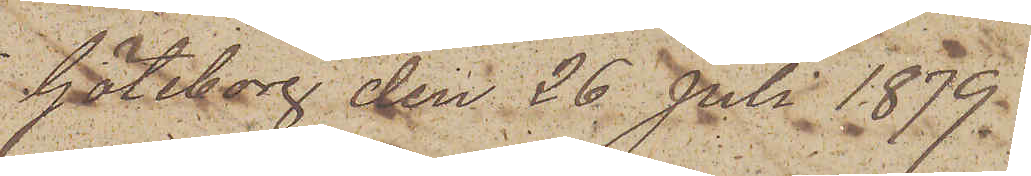Göteborg den 26 Juli 1879.
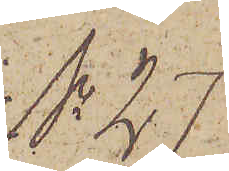No 27
